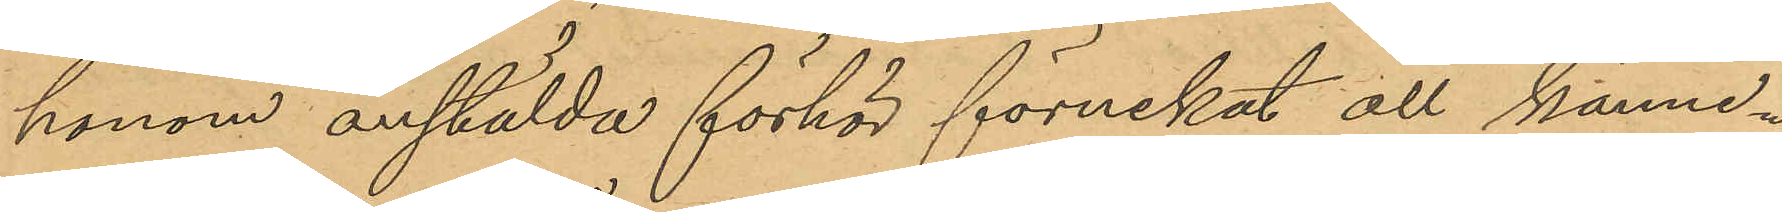honom anstälda förhör förnekat all känne¬
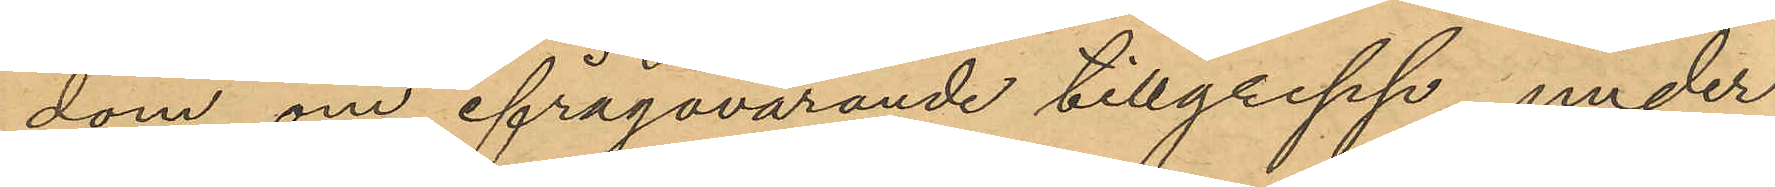dom om ifrågavarande tillgrepp under
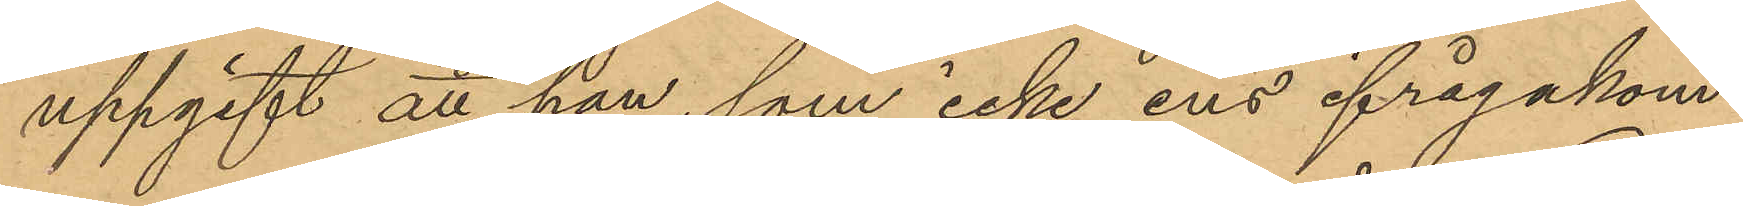uppgift att han, som icke ens ifrågakom¬
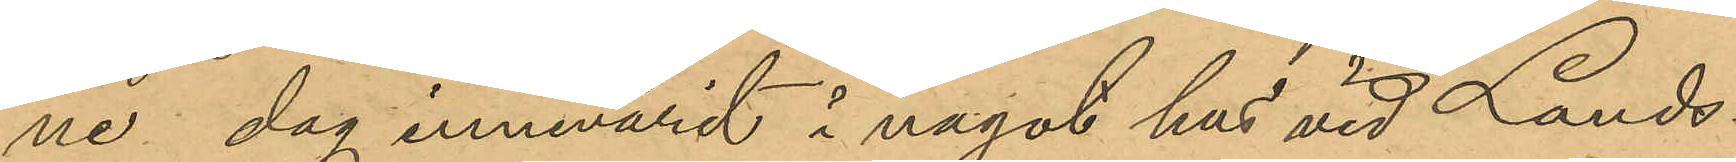ne dag innevarit i något hus vid Lands¬
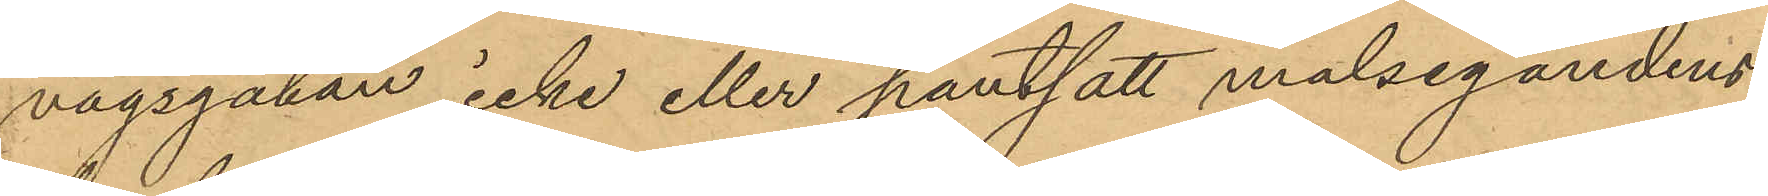vägsgatan icke eller pantsatt målsegandens
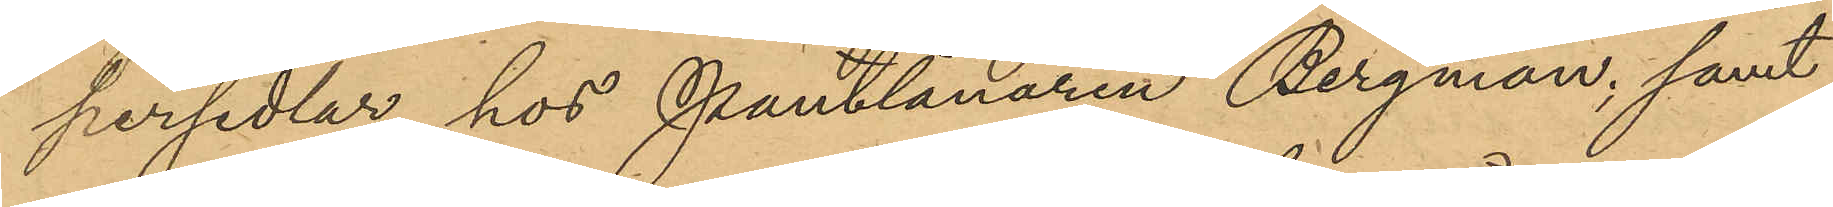persedlar hos Pantlånaren Bergman; samt
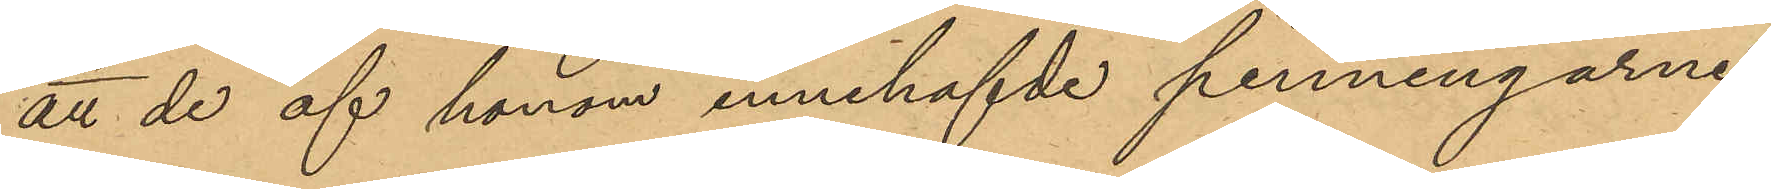att de af honom innehafvde penningarne
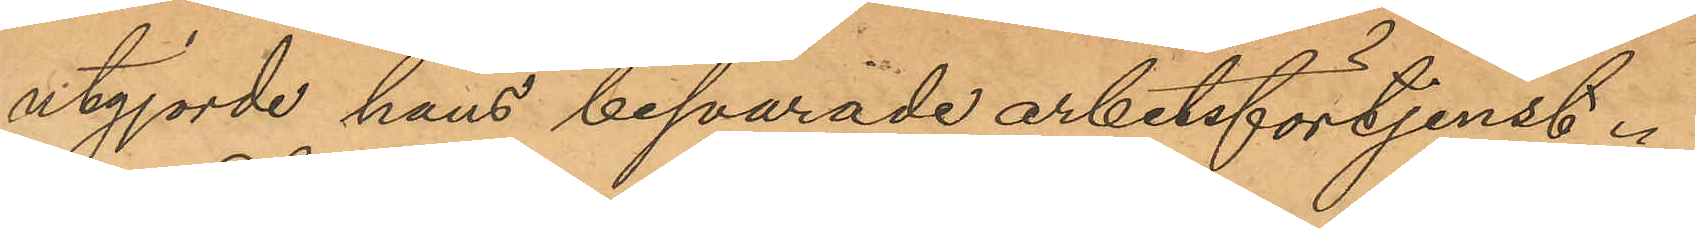utgjorde hans besparade arbetsförtjenst.
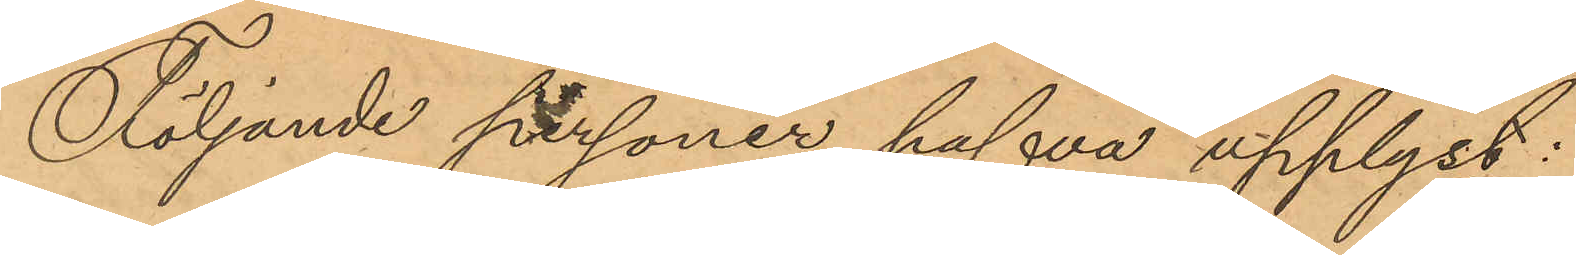Följande personer hafva upplyst:
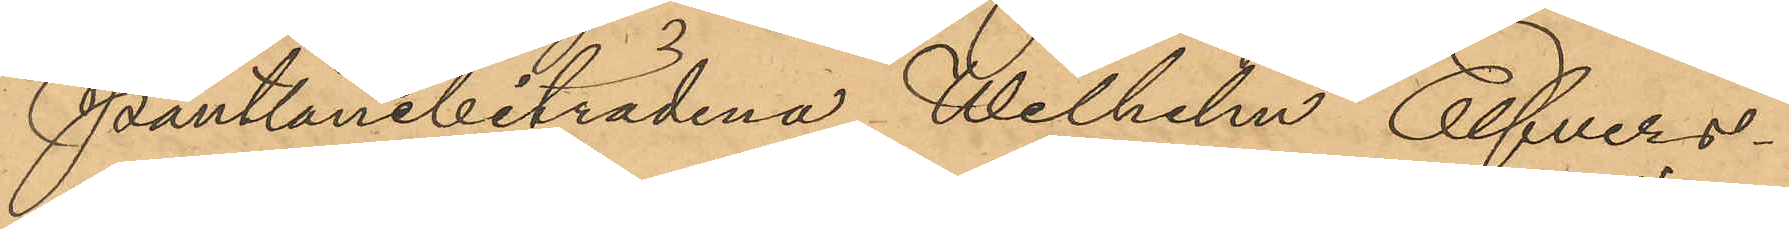Pantlånebiträdena Wilhelm Elfvers¬
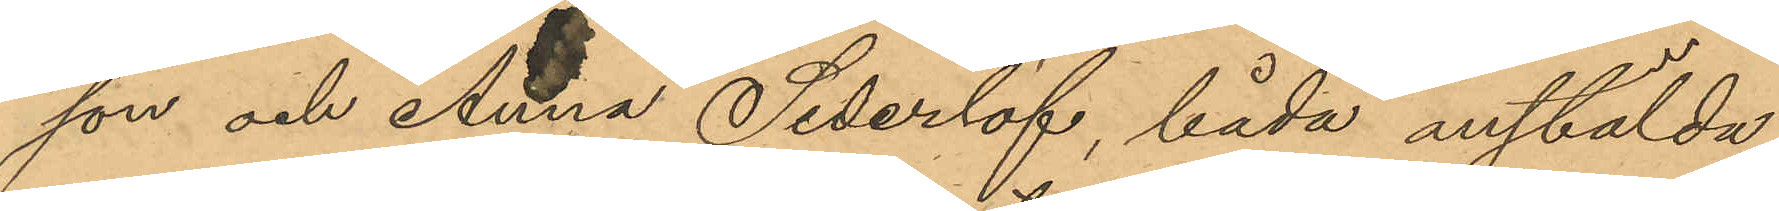son och Anna Sederlöf, båda anstälda
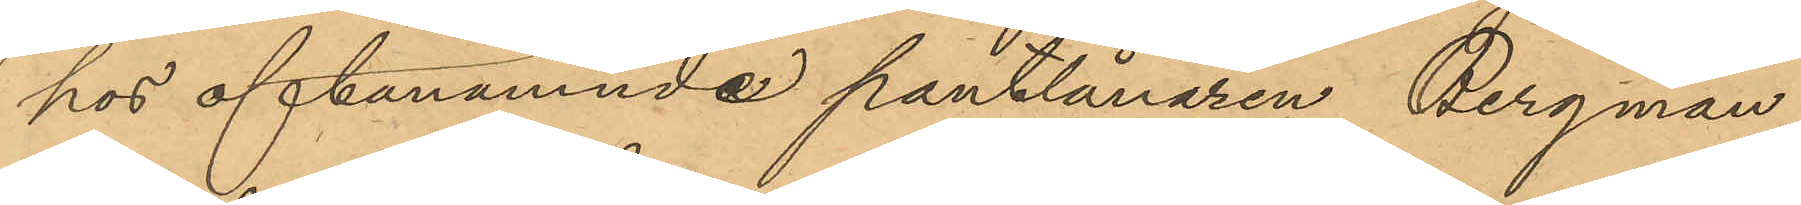hos oftanämnde pantlånaren Bergman,
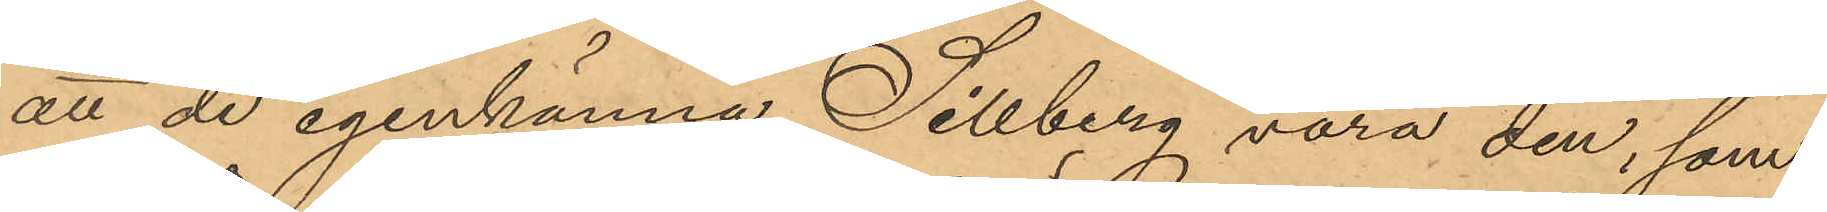att de igenkänna Sillberg vara den, som
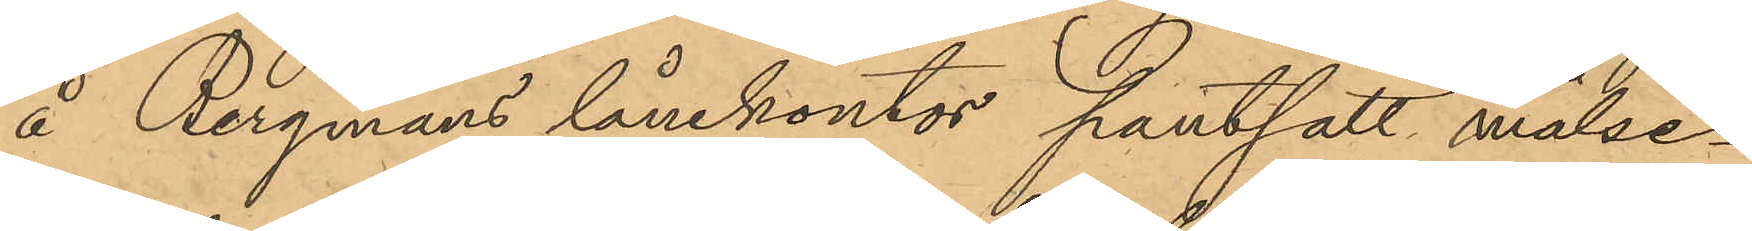å Bergmans lånekontor pantsatt målse¬
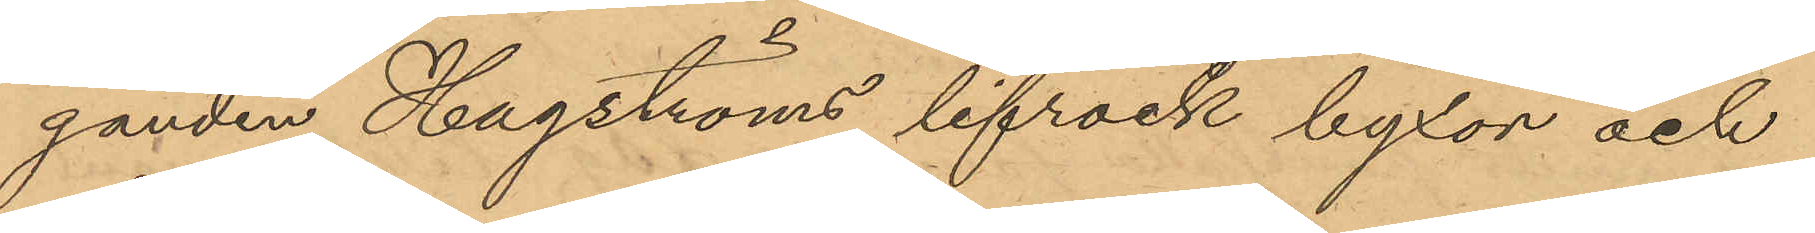ganden Hagströms lifrock byxor och
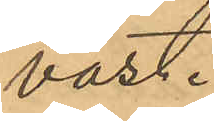väst.
